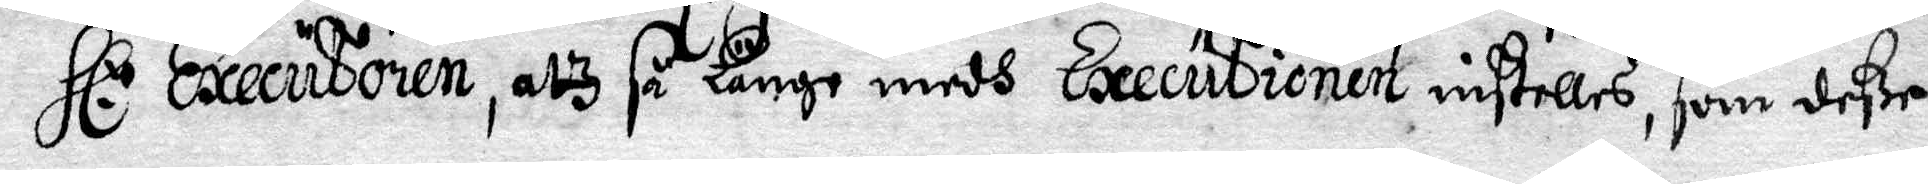Hl: Executionen, alz så Länge medh Executionen instelles, som deße
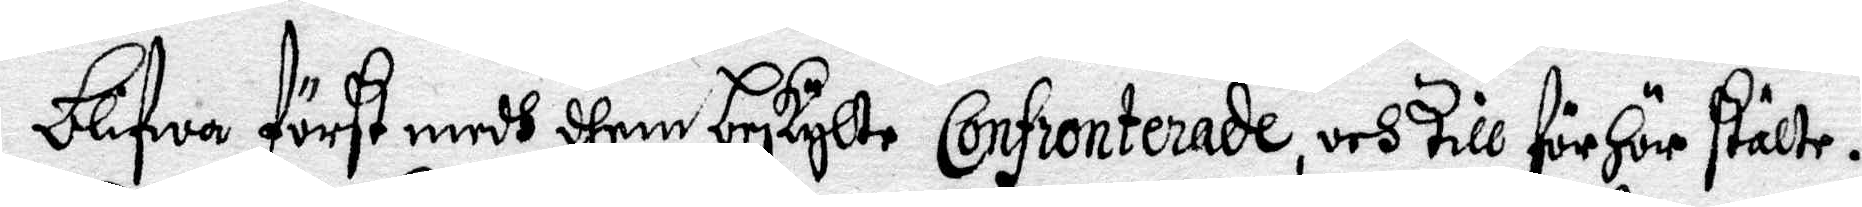blifwa först medh dhem beskylte Confronterade, och till förhör stälte.
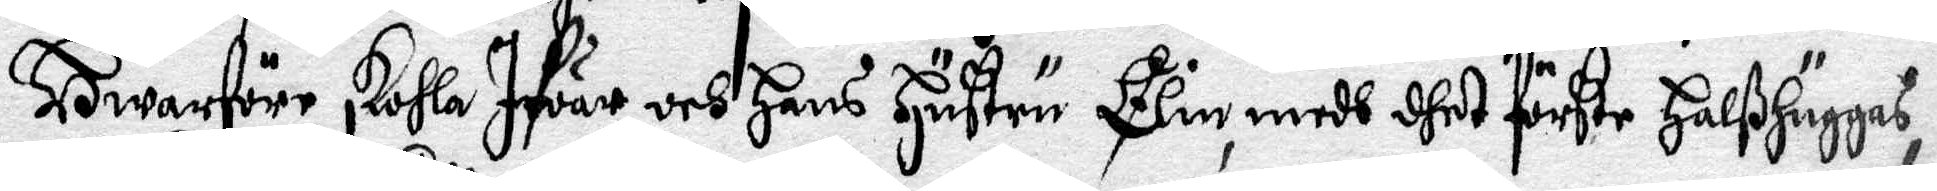Hwarföre skohla Ifwar och Hans Hustru Elin, medh dhet förste HalsHuggas,
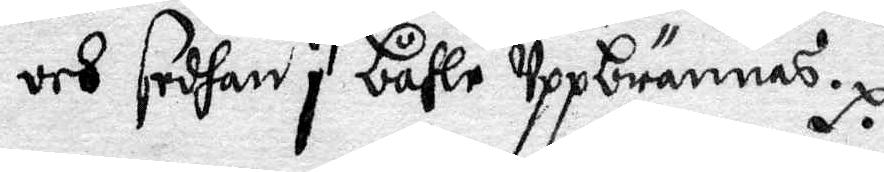och sedhan i båhle uppbrännas.
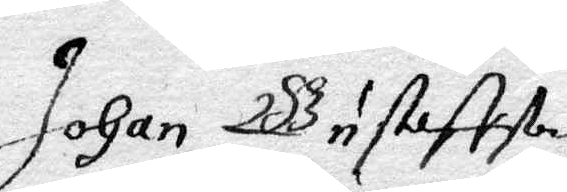Johan Bustett
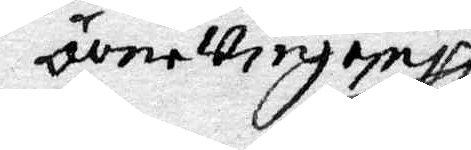överwiegop
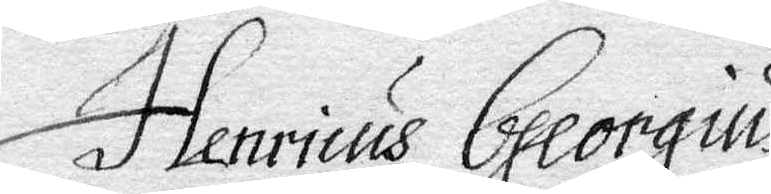Henricus Greorgius
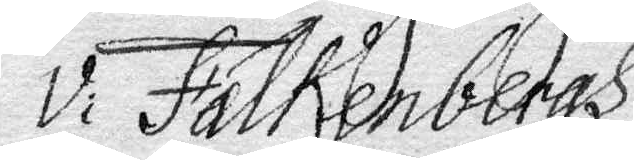V; Falkenbergh
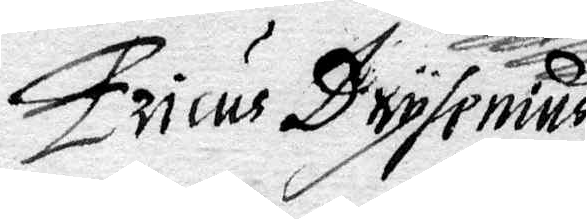ericus Drysenius
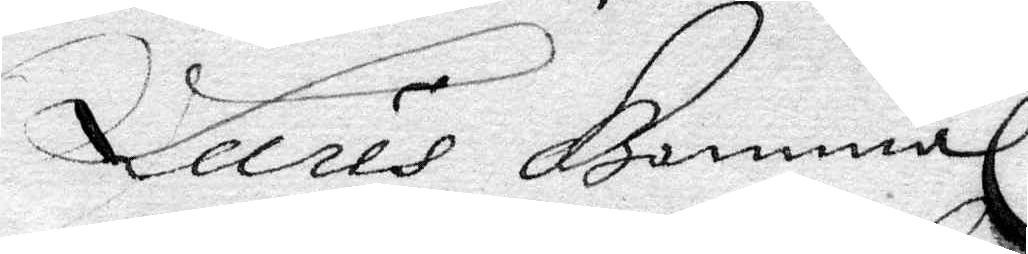Lures Bonnal
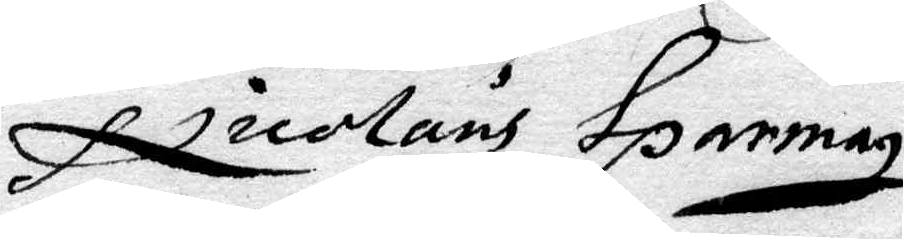Nicolaus Sparman
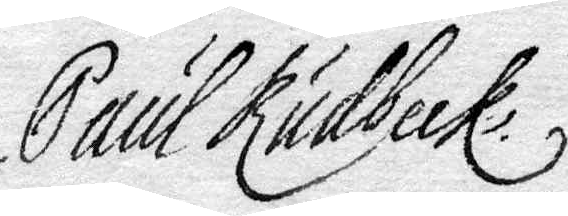Paul Rudbeck
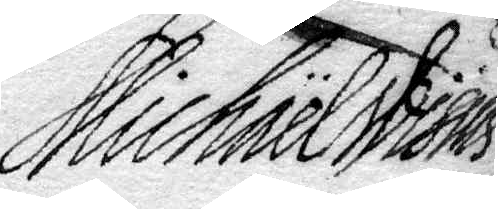Michael msius
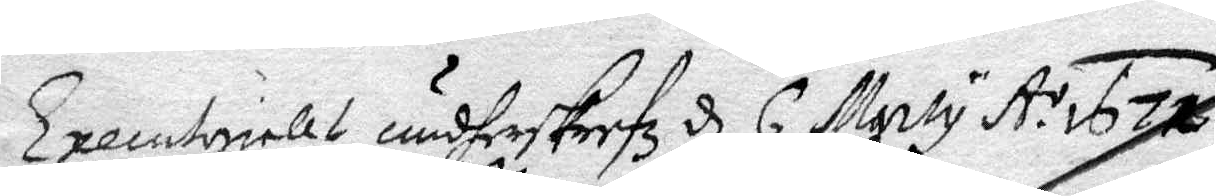Executorielet undherskrefz d 6 Marty A:o 1671
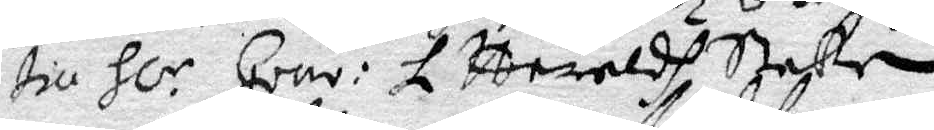till Hl.r Gouv: L Haraldh Stake
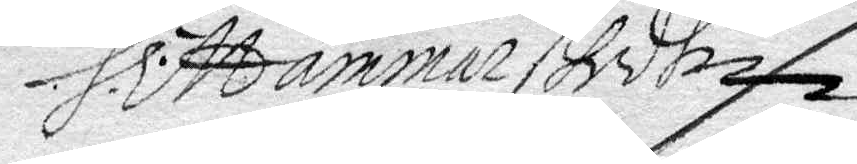H. Hammarstedt
